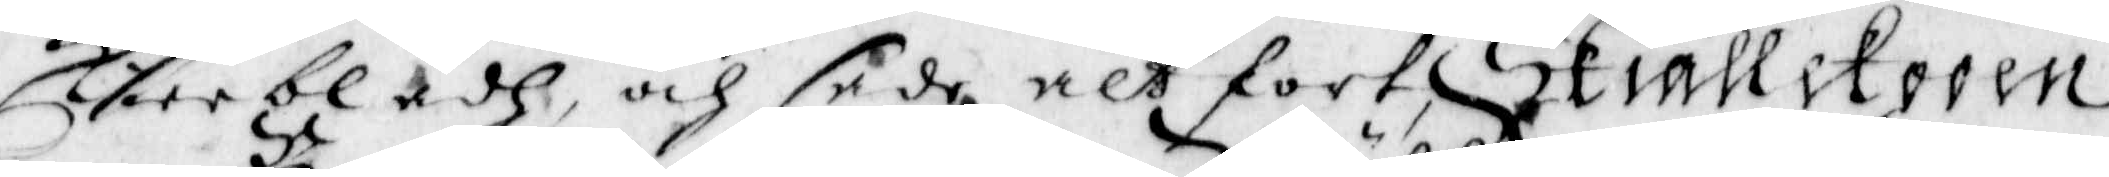kerrbladh och sade alt fort Skiällekooen
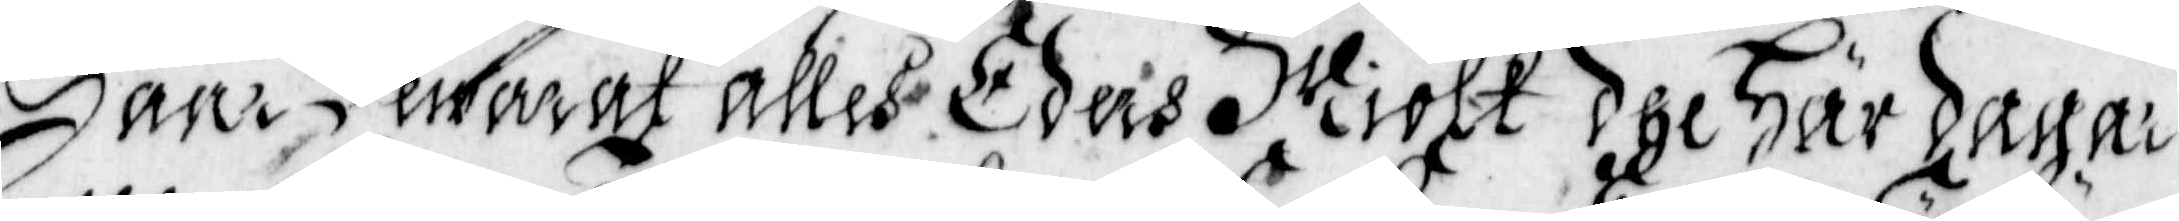Haar Bewarat alles Eders Miölk dhe Här dagar¬
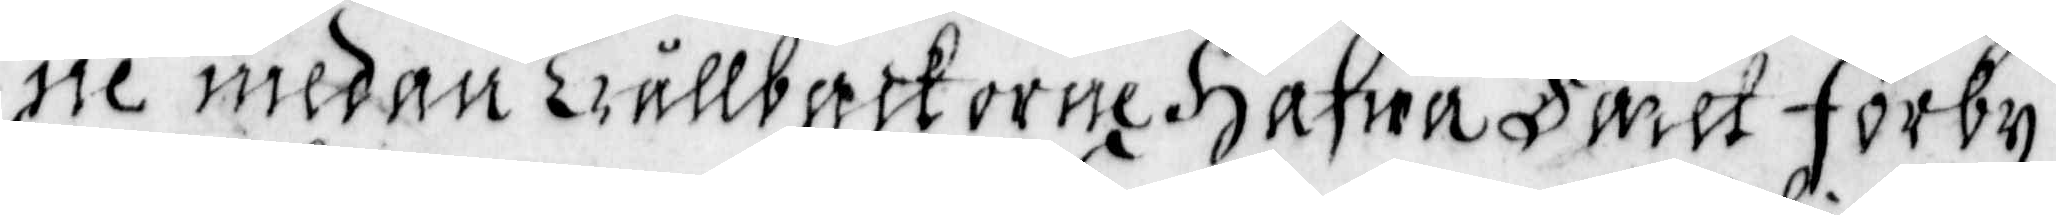ne medan Trållbackorne Hafua Faret Förby
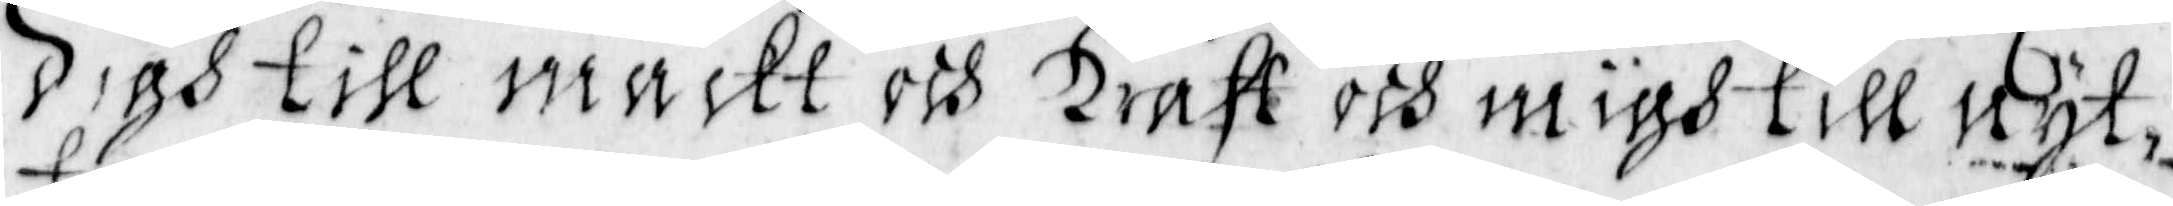digh till mackt och Kraft och migh till nyt¬
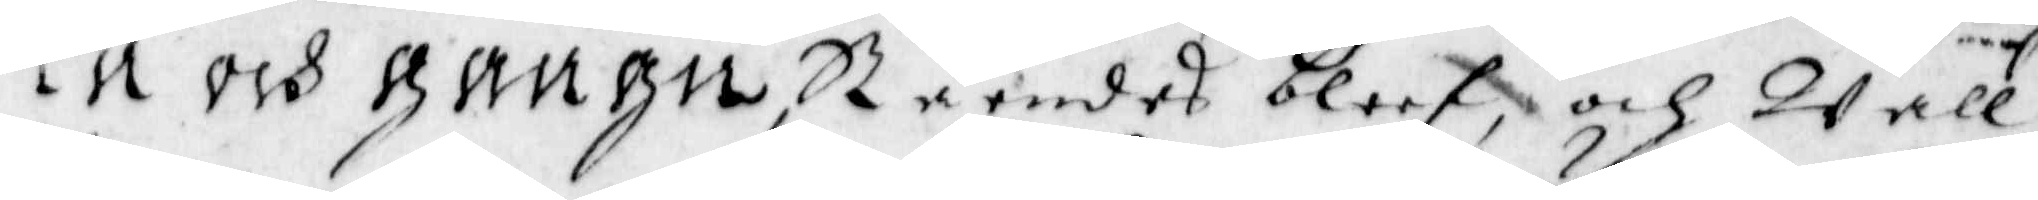ta och gangn, Ståendes bleef och Wall¬
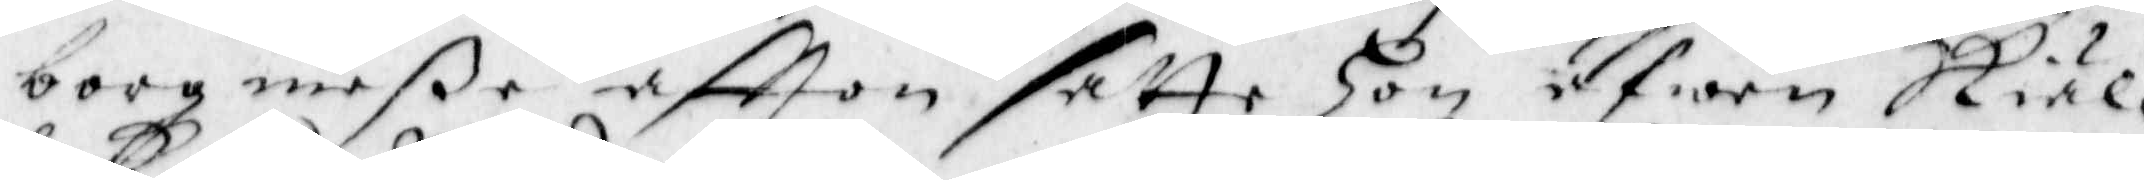borg meße aftton satte hon äfwen Skiäl¬
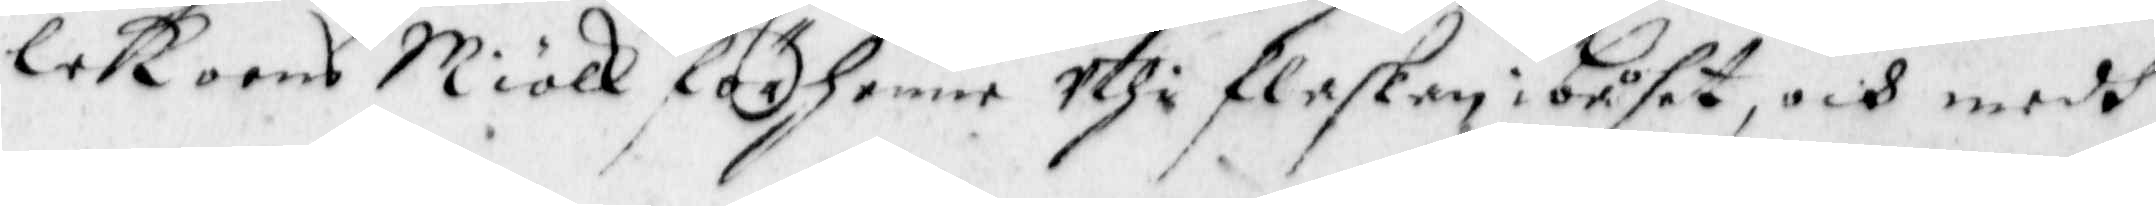lekoens Miölk för henne Uthi flaskan i båset, och medh
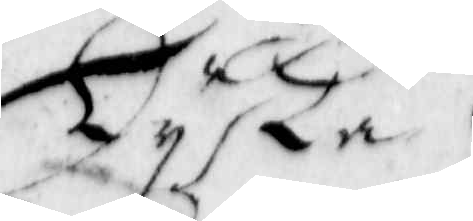Lyka
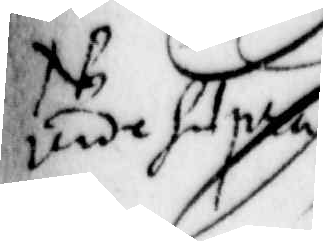unde hetpra
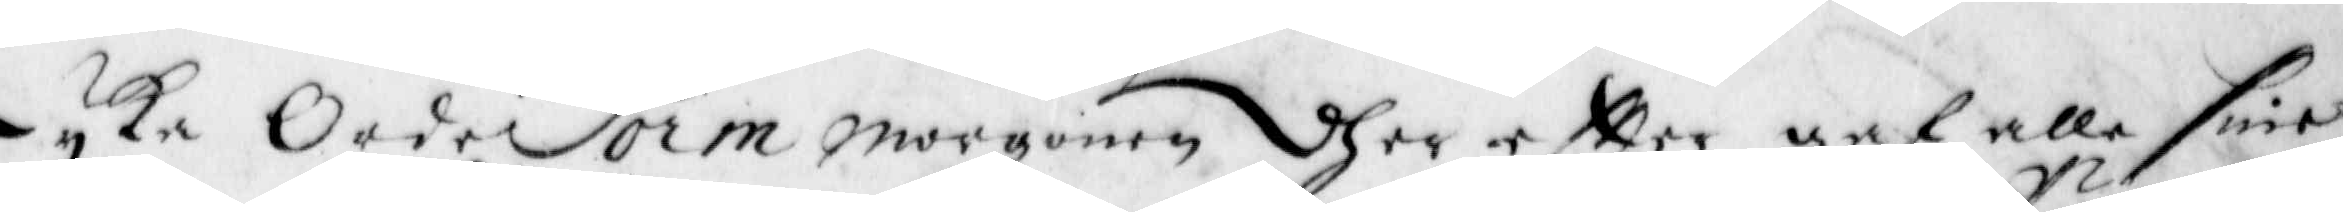Lyka OrdrForm morgonen dher eftter gaf alle sine
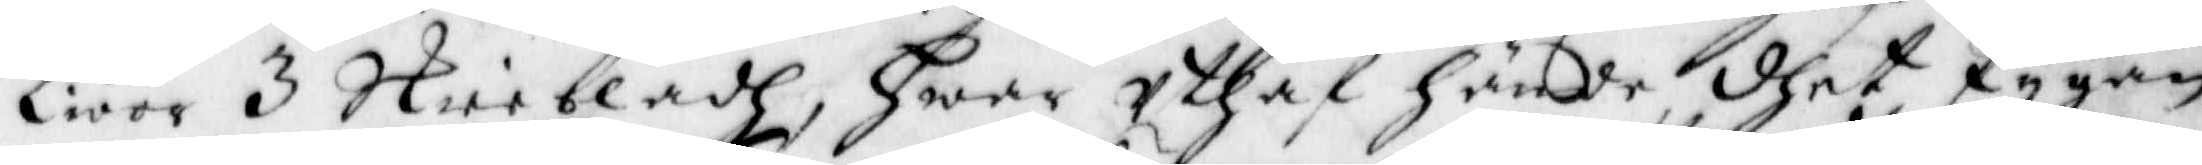Kiöör 3 Skiebladh, hwar Uthaf hände dhet Pygan
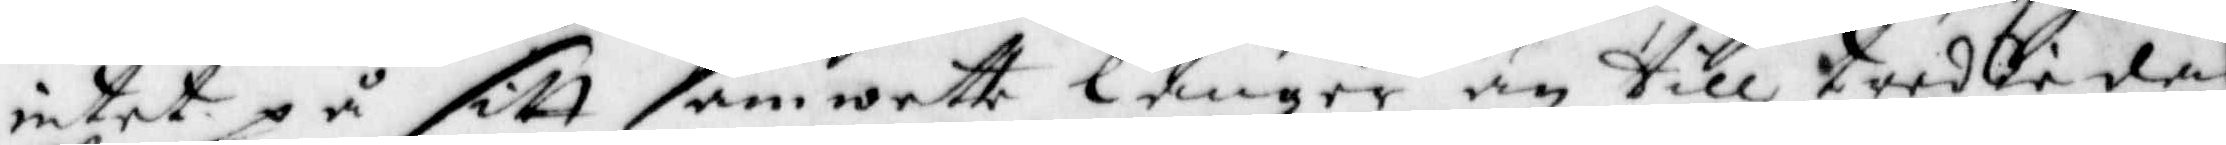intet på sitt samwette länger än till treddi dag
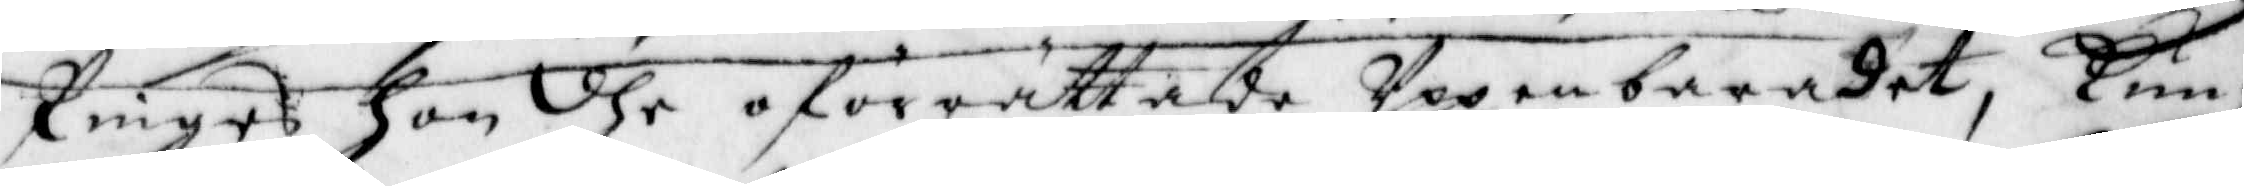Pinges hon dhe oförrättade Uppenbardet, kun¬
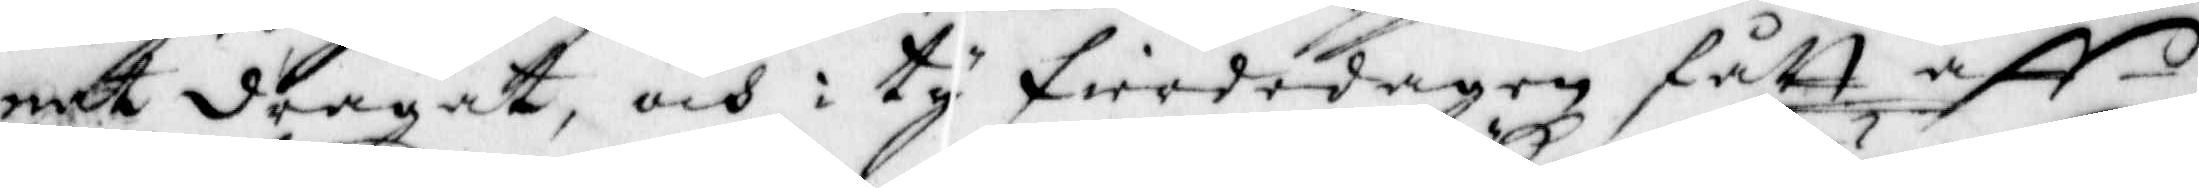nat dragat, och i ty fierdedagen fått aff
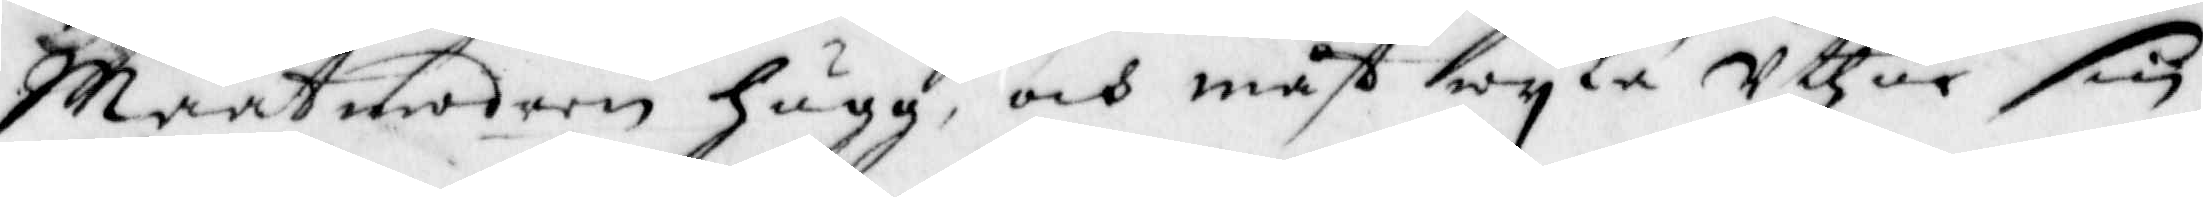Maatmodern hugg och måst wyka Uthur sin
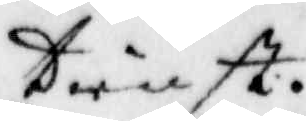tienst.
